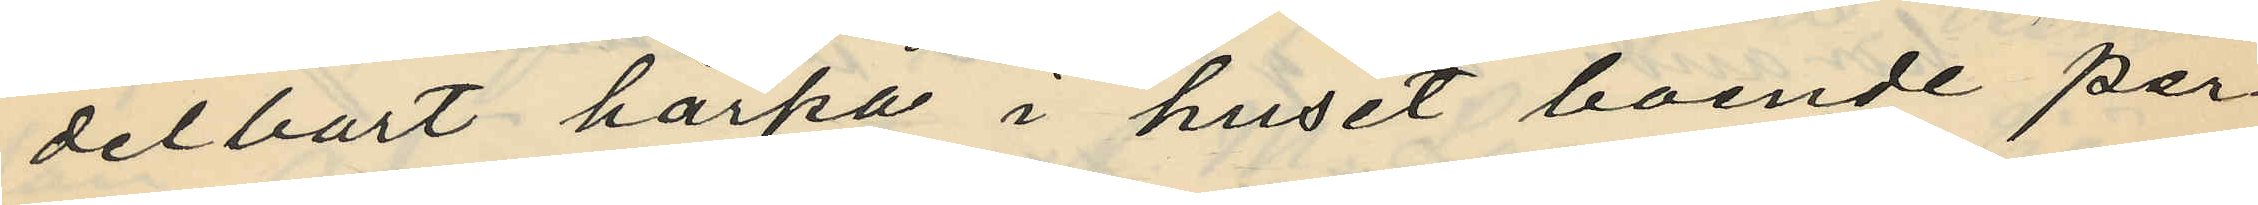delbart härpå i huset boende per¬
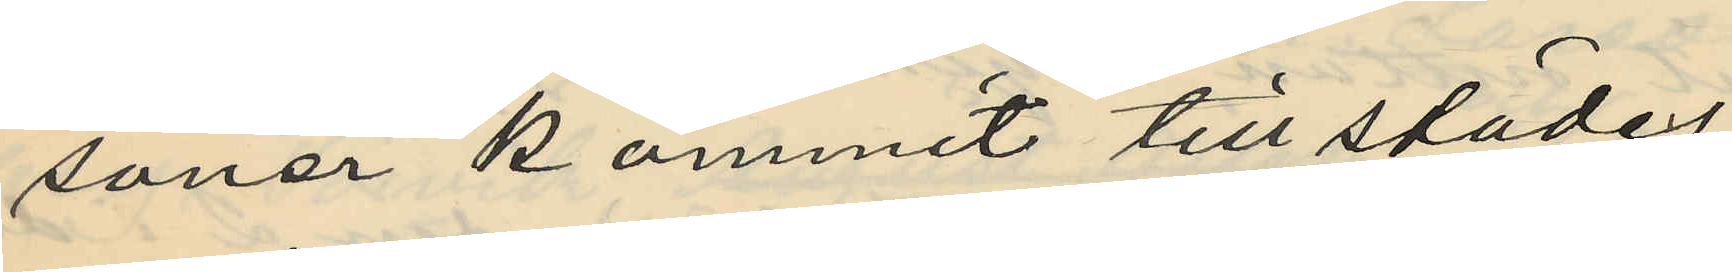soner kommit till städes,
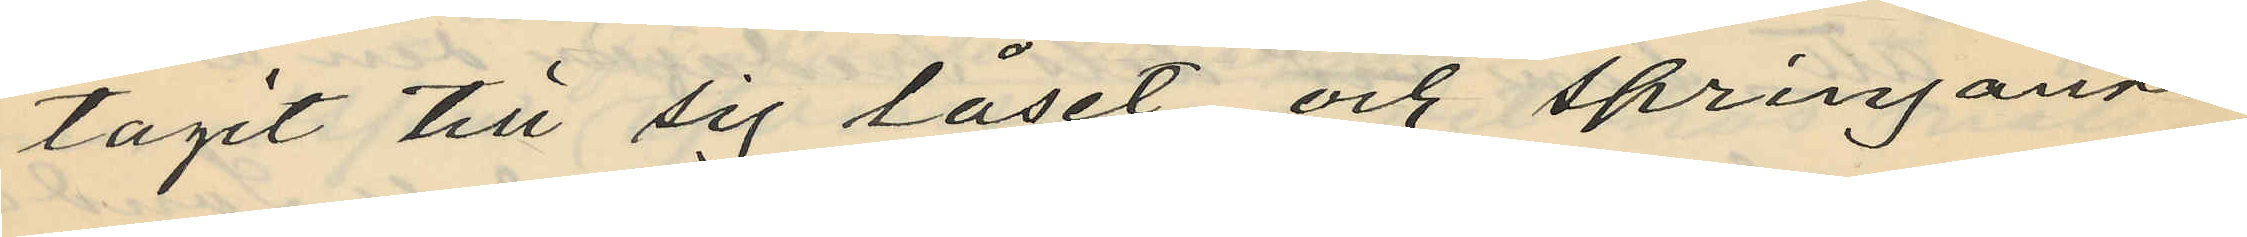tagit till sig låset och springande
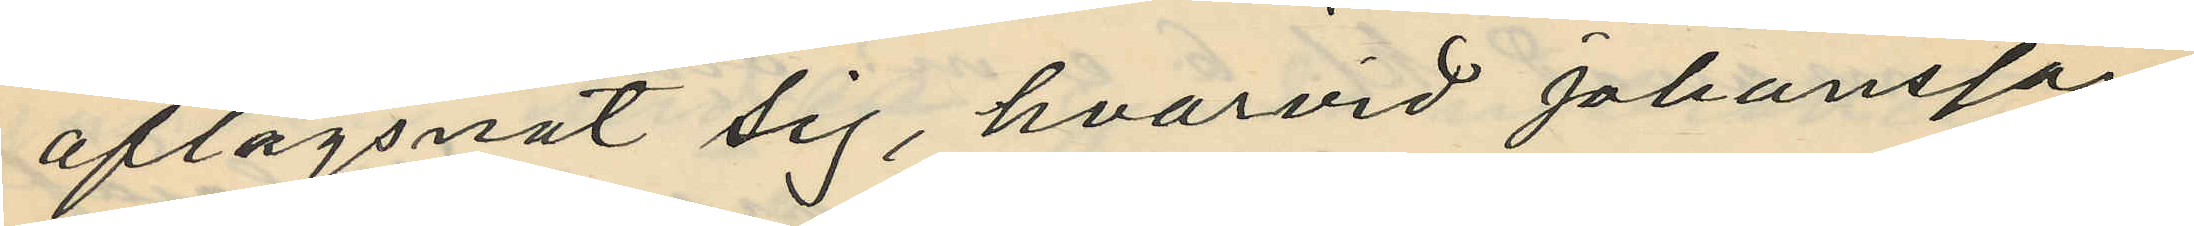aflägsnat sig, hvarvid Johansson
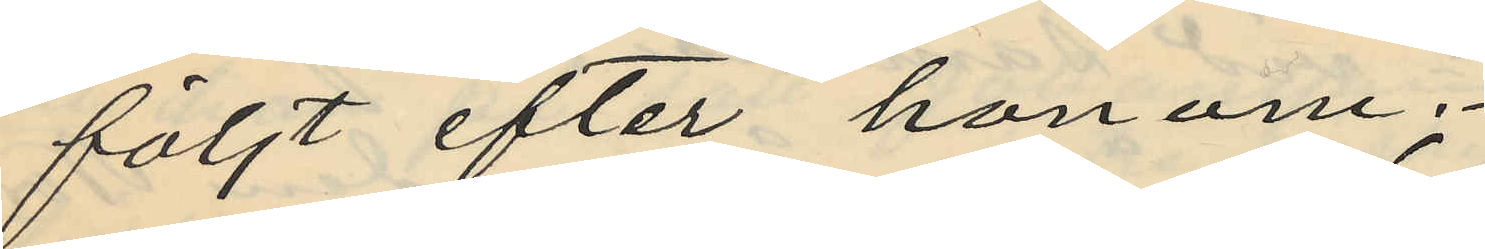följt efter honom;
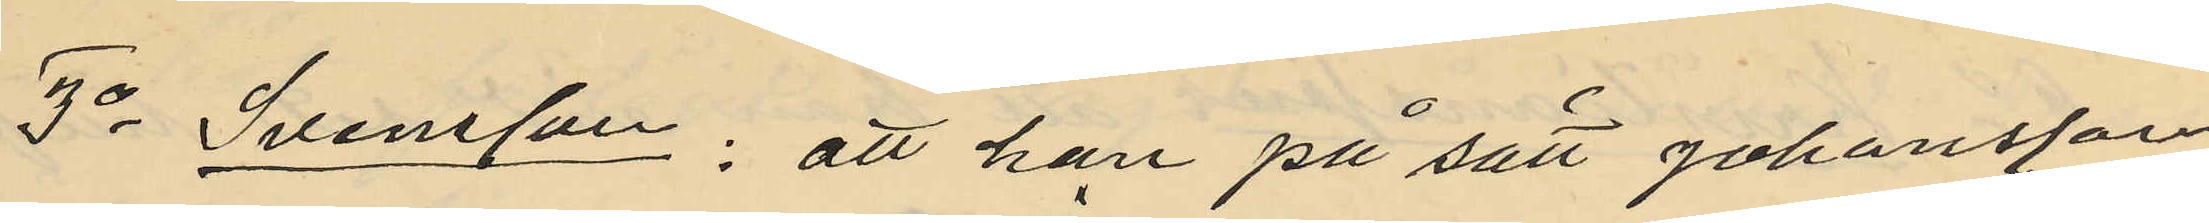3o Svensson; att han på sätt Johansson
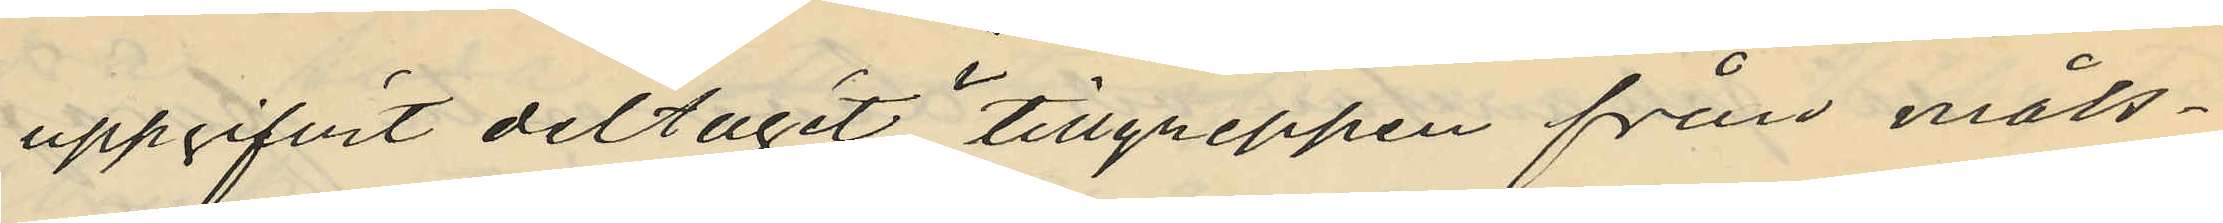uppgifvit deltagit i tillgreppen från måls¬
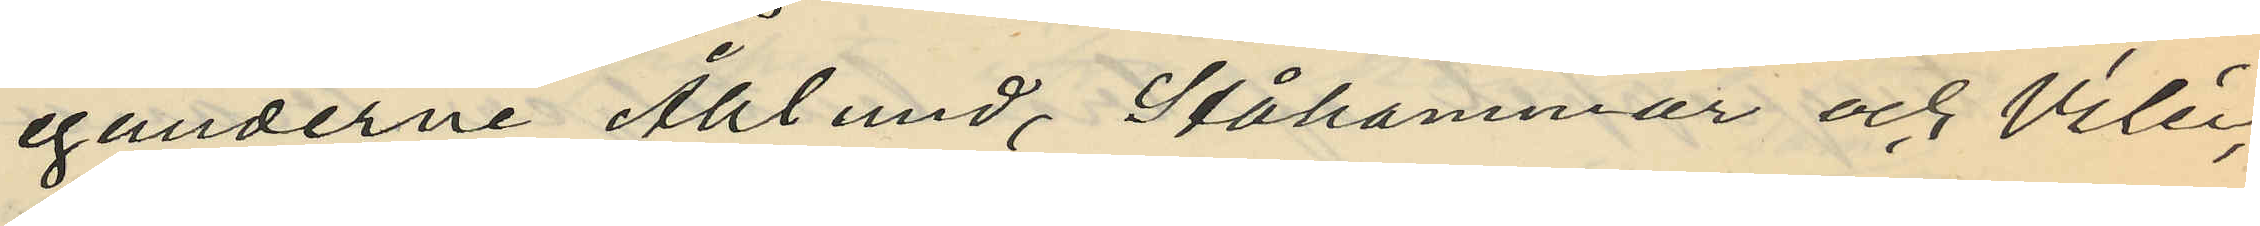eganderne Åhlund, Stålhammar och Vilén,
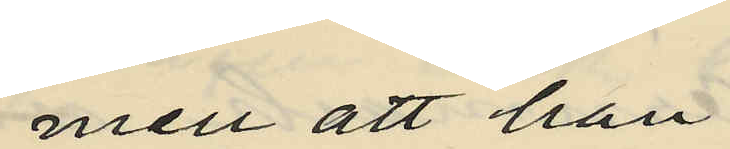men att han
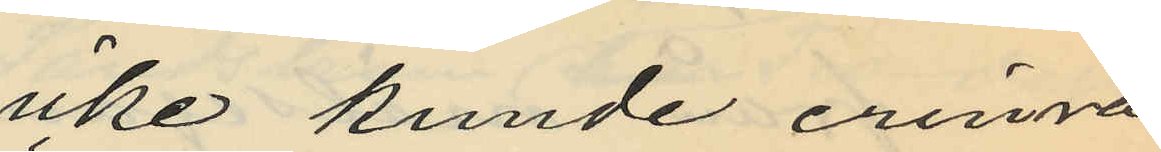icke kunde erinra
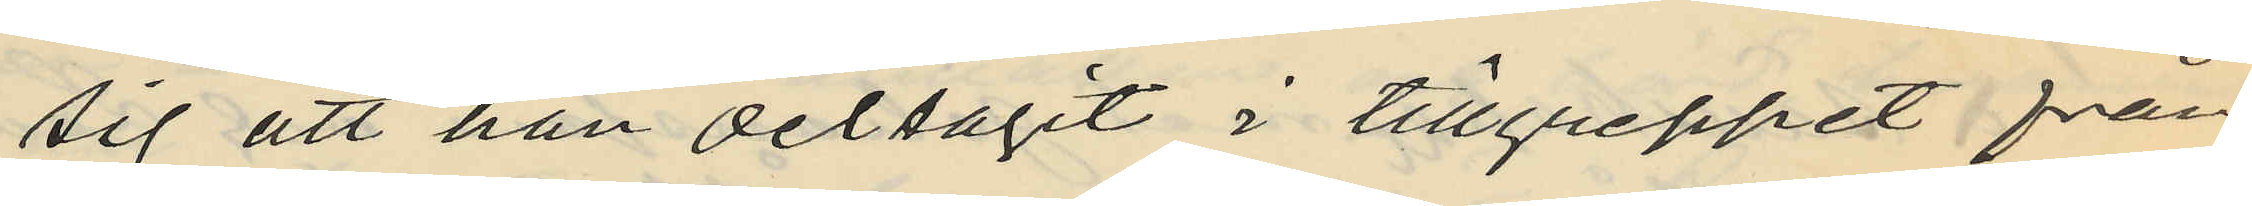sig att han deltagit i tillgreppet från
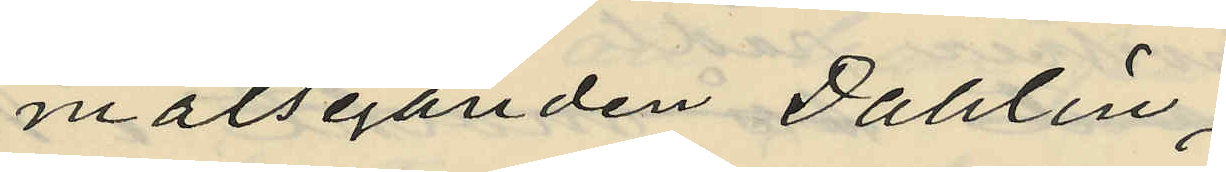målseganden Dahlin;
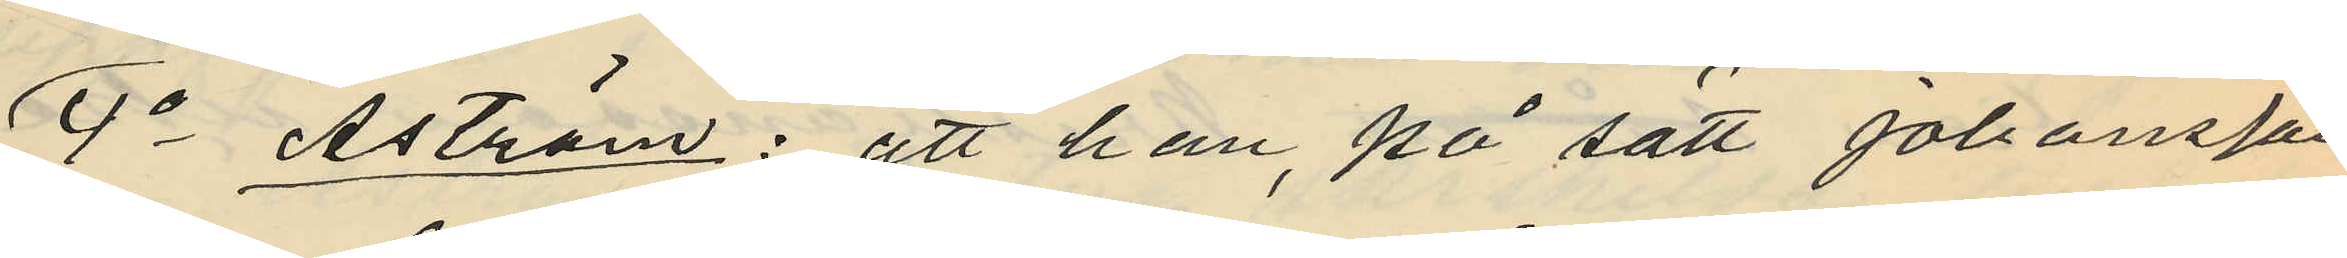4o Åström: att han, på sätt Johansson
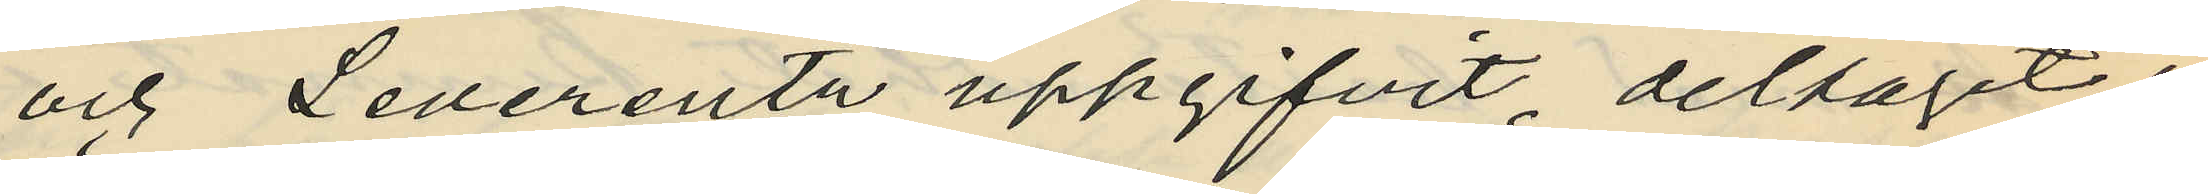och Leverentz uppgifvit, deltagit i
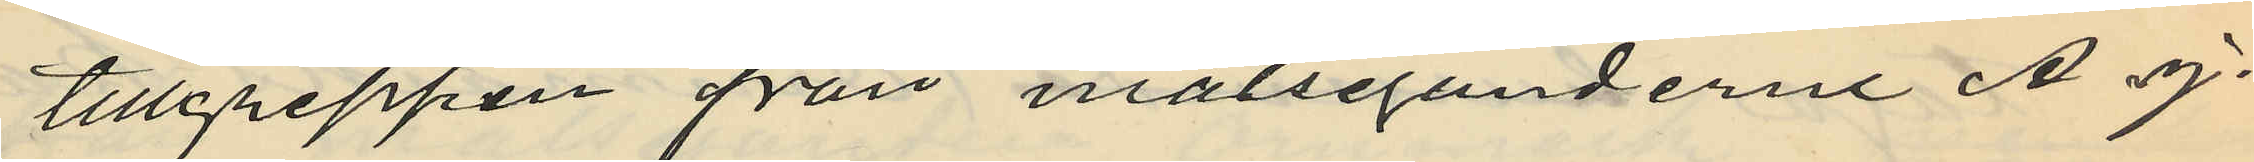tillgreppen från målseganderne A J.
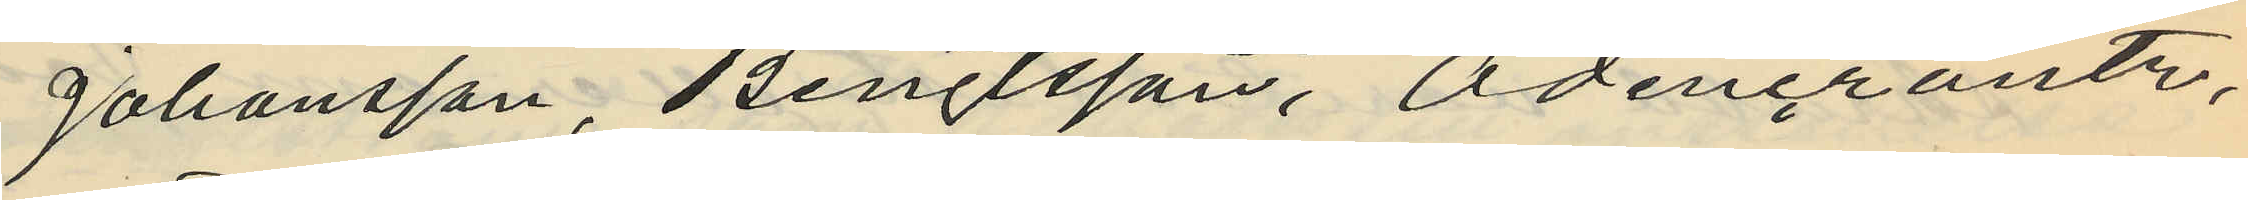Johansson, Bengtsson, Odencrantz,
